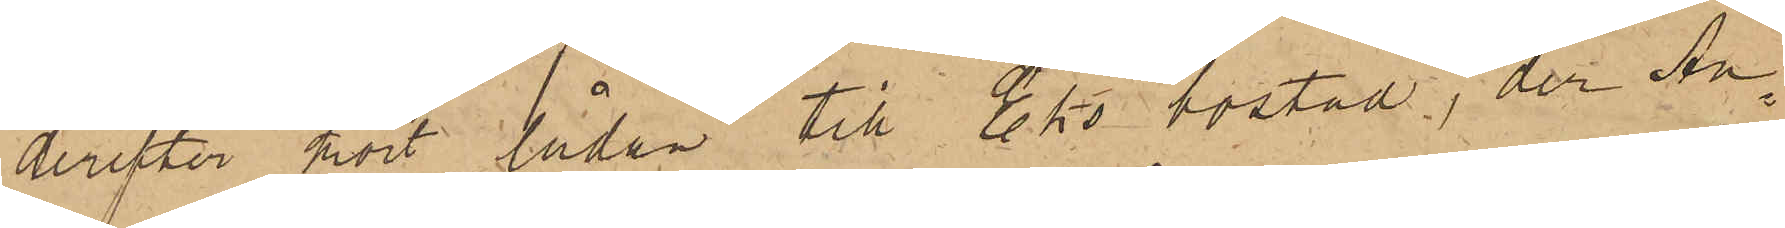derefter kört lådan till Eks bostad, der An¬
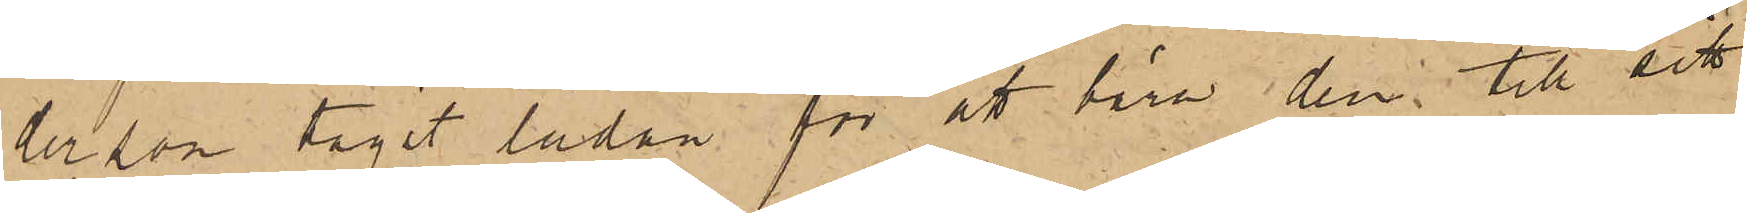dersson tagit lådan för att bära den till sitt
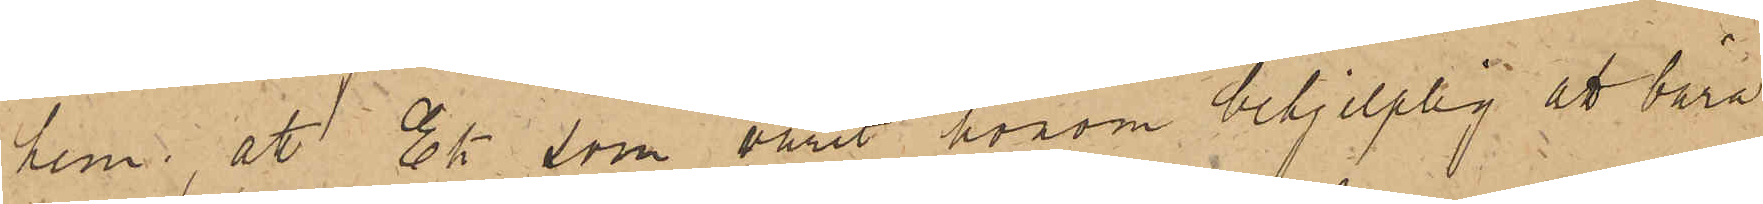hem; att Ek som varit honom behjelplig att bära
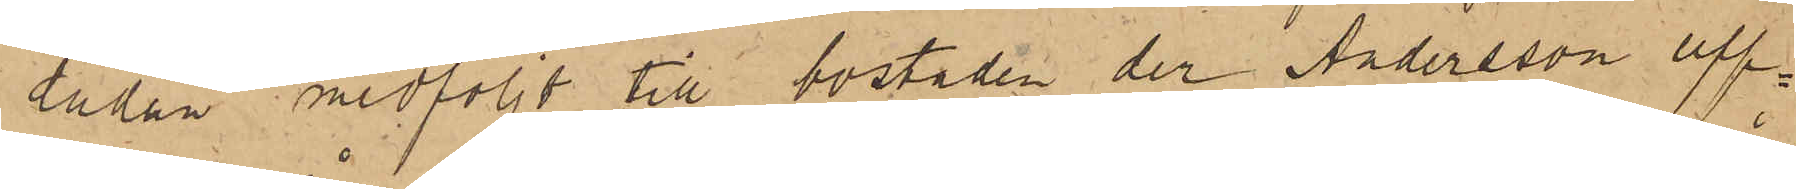lådan medföljt till bostaden der Andersson upp¬
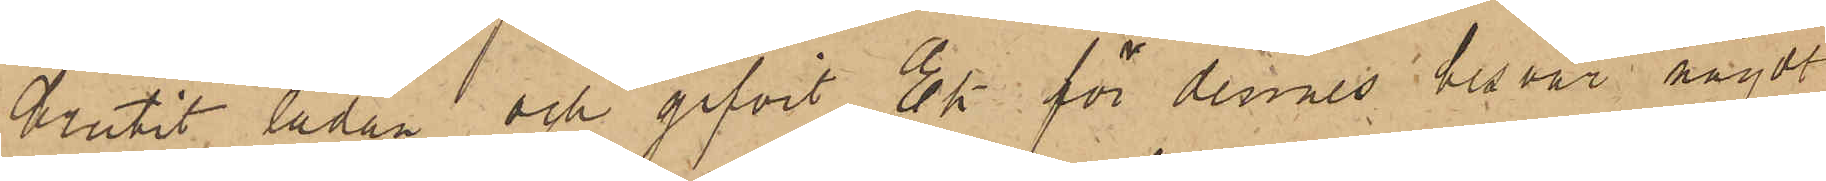brutit lådan och gifvit Ek för dennes besvär något
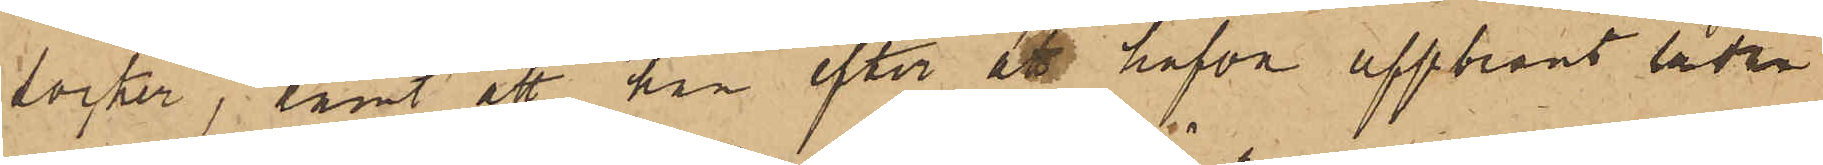socker; samt att han efter att hafva uppbränt lådan
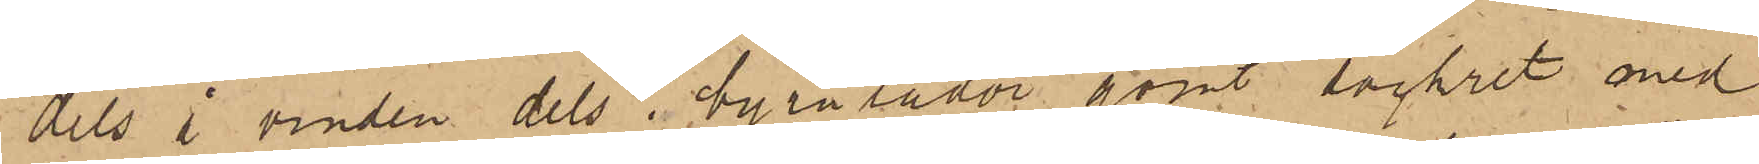dels å vinden dels i byrålådor gömt sockret med
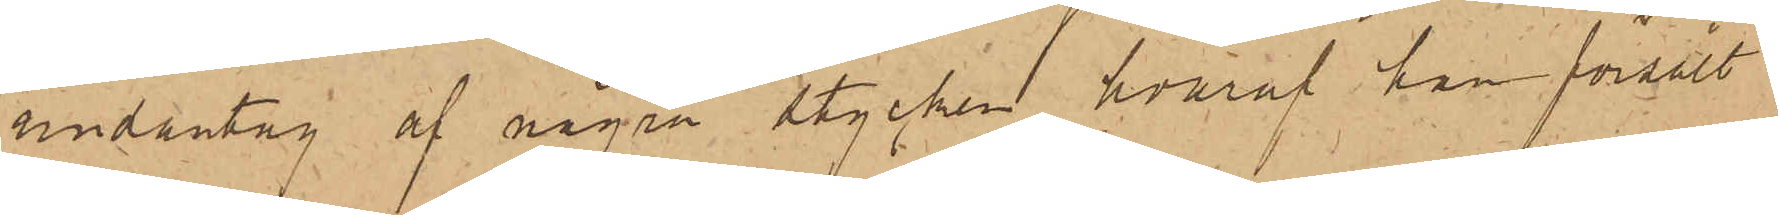undantag af några stycken, hvaraf han försålt
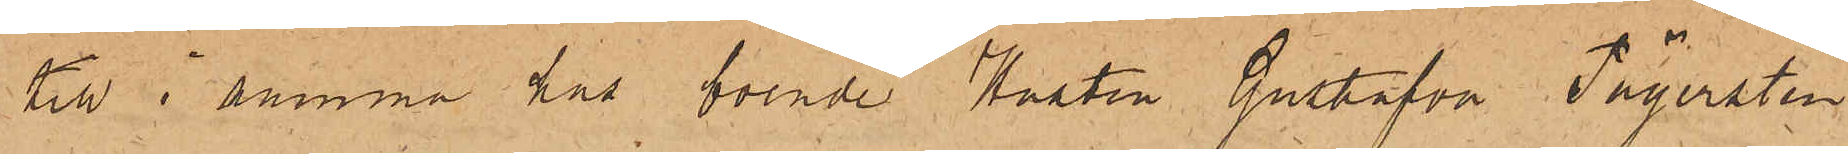till i samma hus boende Hustru Gustafva Fägersten
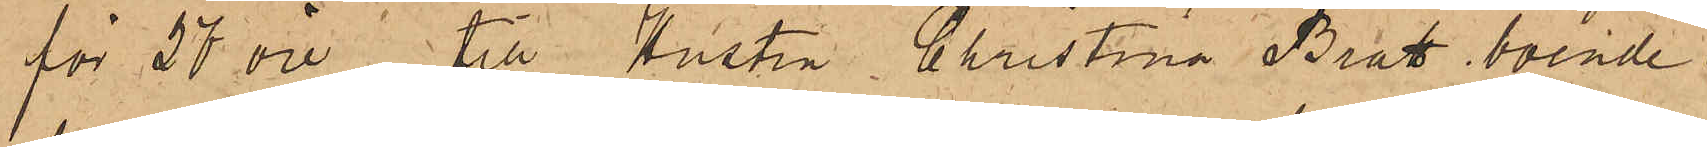för 27 öre, till Hustru Christina Bratt, boende i
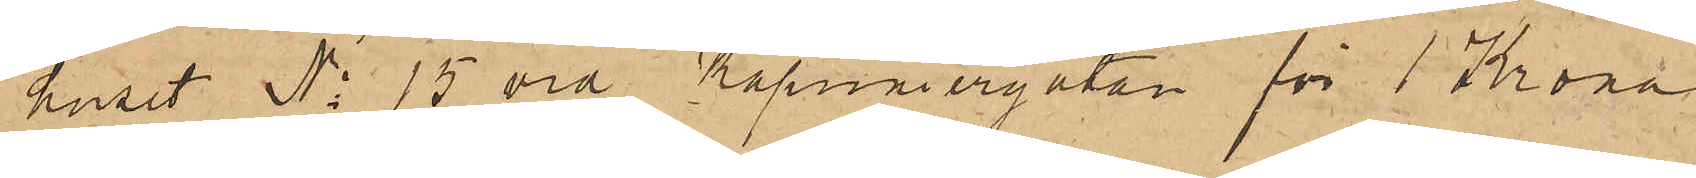huset No 15 vid Kapuniergatan för 1 Krona
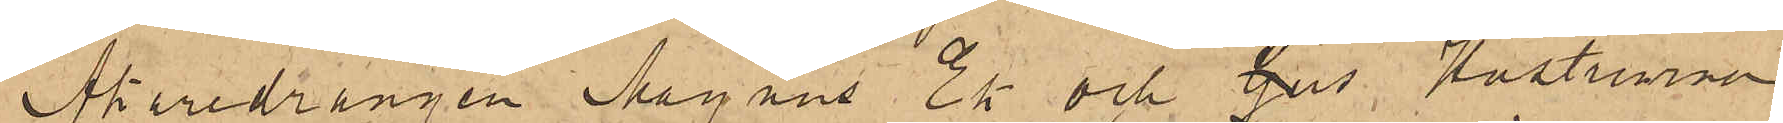Åkaredrängen Magnus Ek och Gus Hustrurna
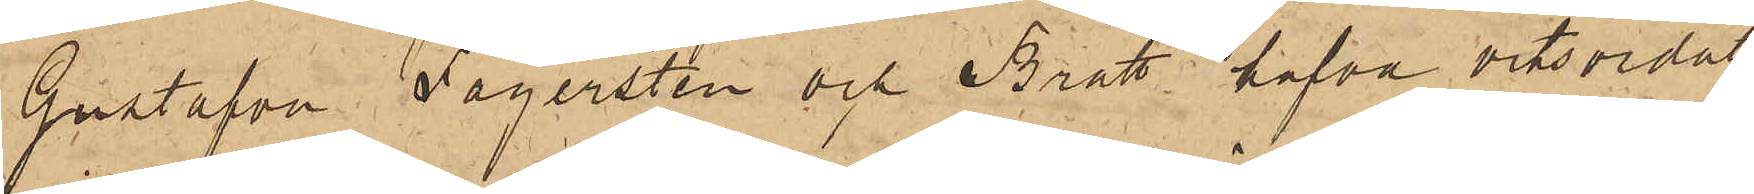Gustafva Fägersten och Bratt hafva vitsordat
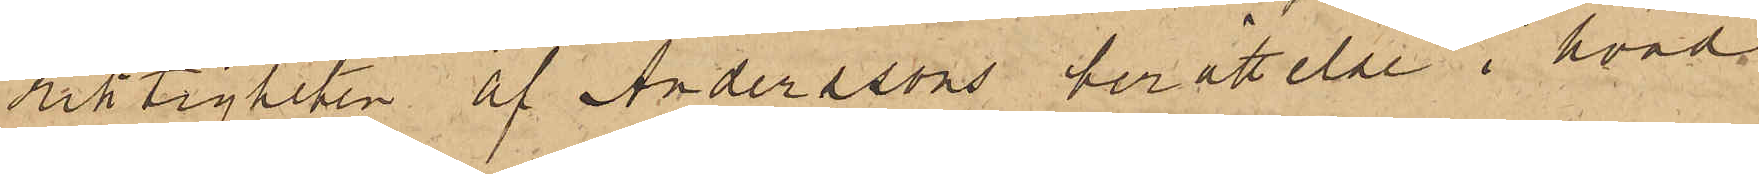riktigheten af Anderssons berättelse i hvad
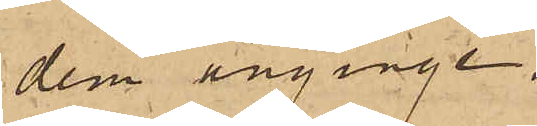dem anginge.
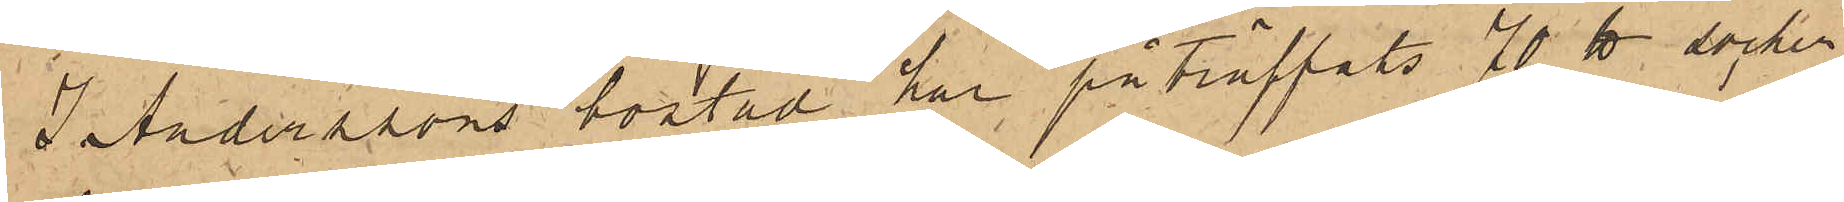I Anderssons bostad har påträffats 70 ℔ socker,
